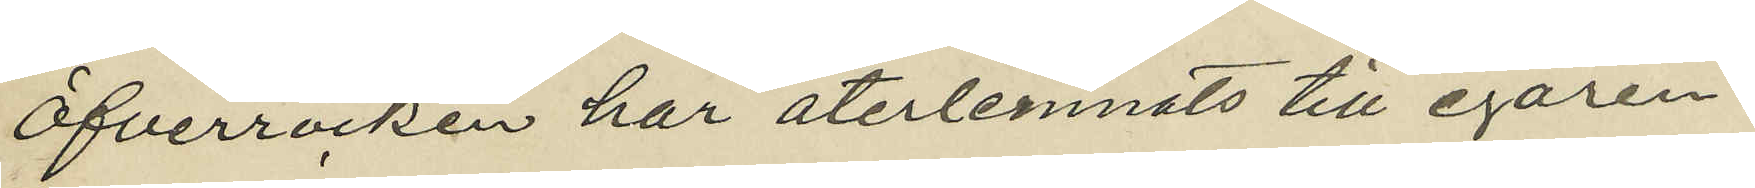Öfverrocken har återlemnats till egaren.
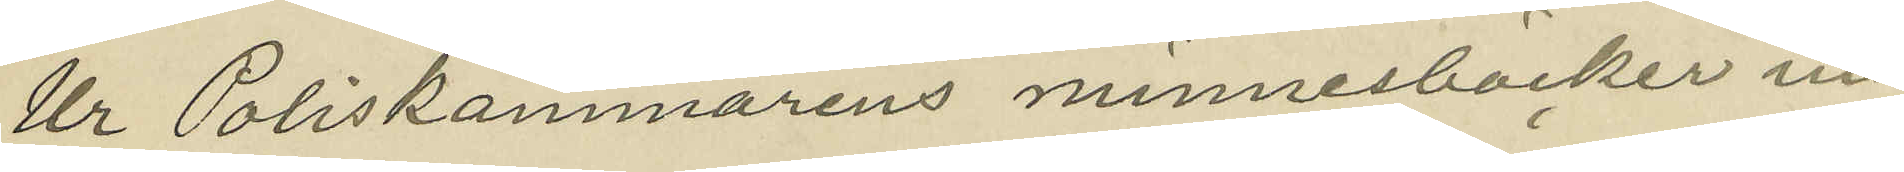Ur Poliskammarens minnesböcker in¬
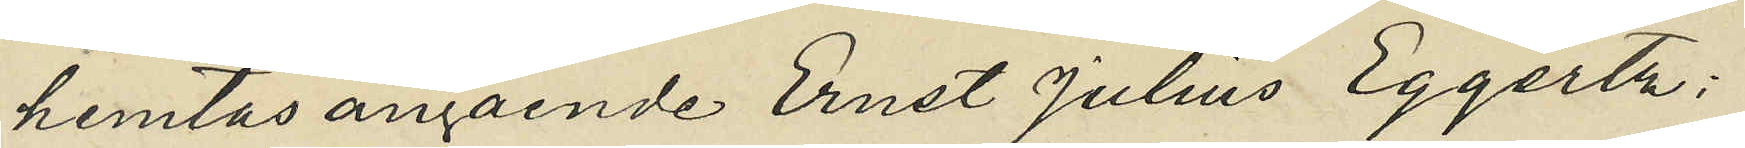hemtas angående Ernst Julius Eggertz;
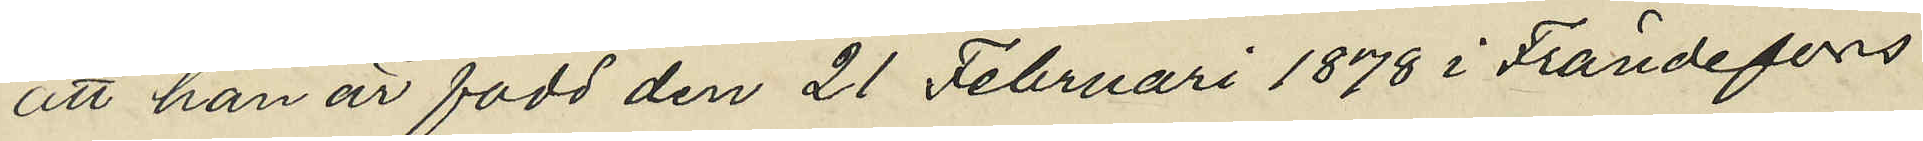att han är född den 21 Februari 1878 i Frändefors
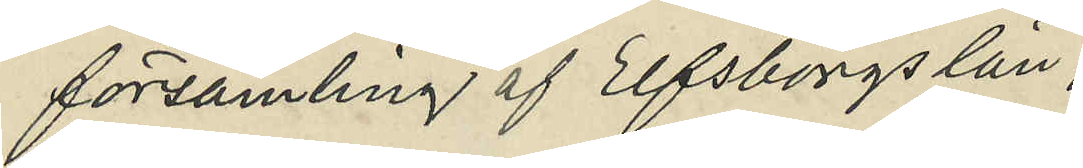församling af Elfsborgs län,
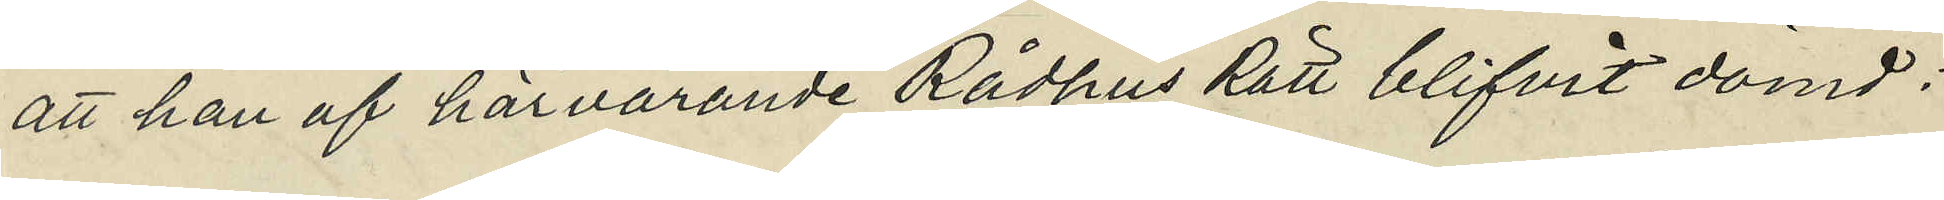att han af härvarande Rådhus Rätt blifvit dömd:
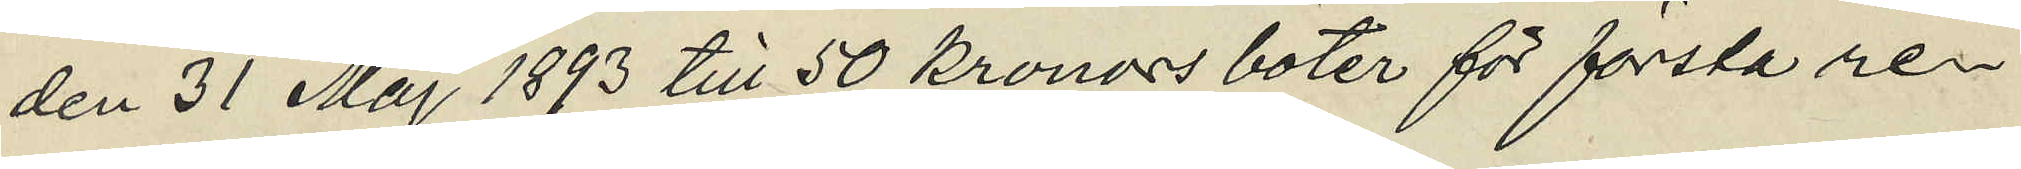den 31 Maj 1893 till 50 kronors böter för första re¬
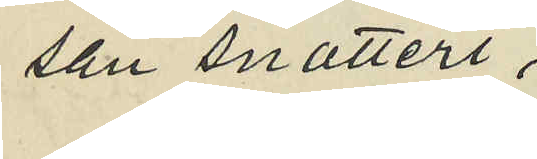san snatteri,
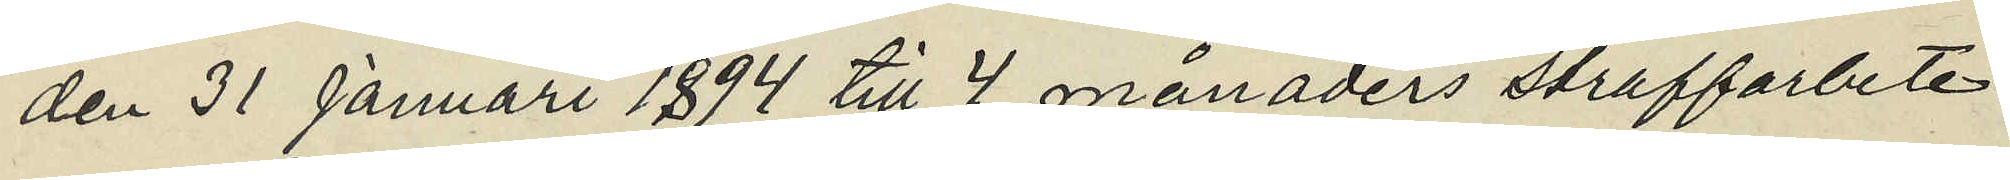den 31 Januari 1894 till 4 månaders straffarbete
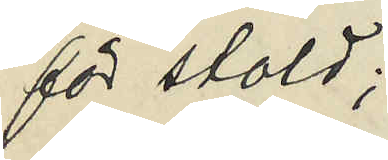för stöld;
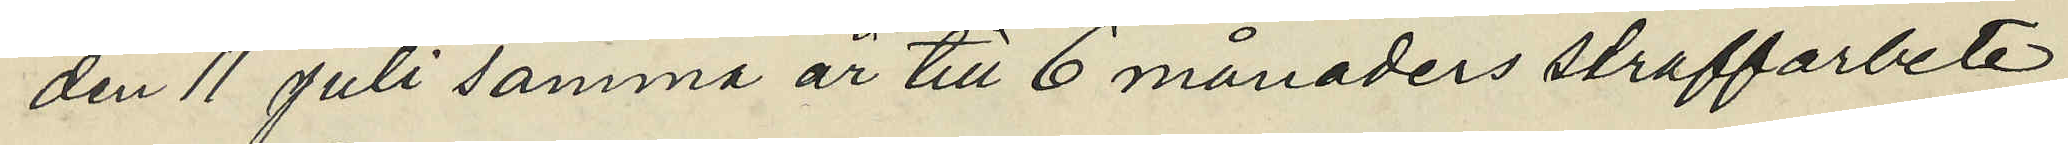den 11 juli samma år till 6 månaders straffarbete
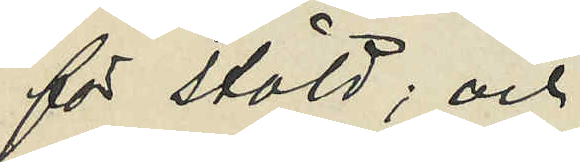för stöld; och
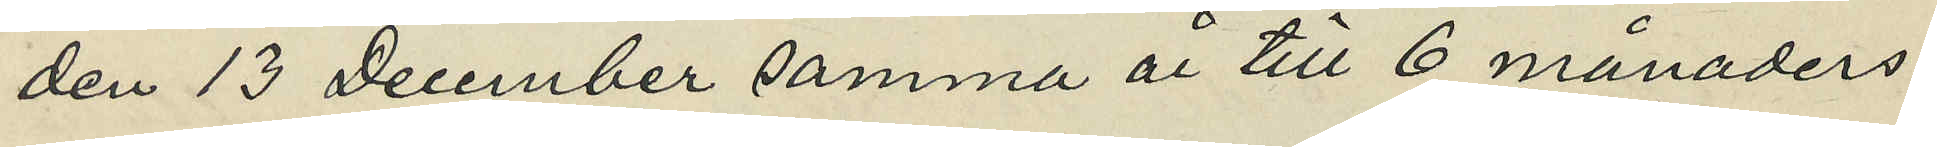den 13 December samma år till 6 månaders
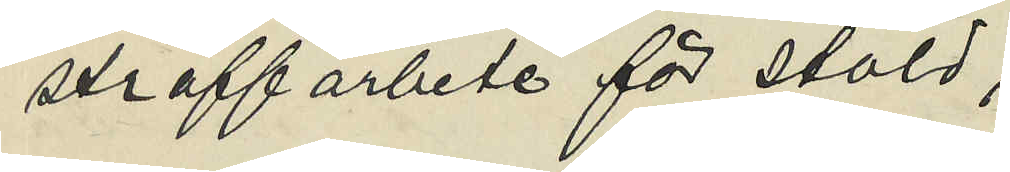straffarbete för stöld;
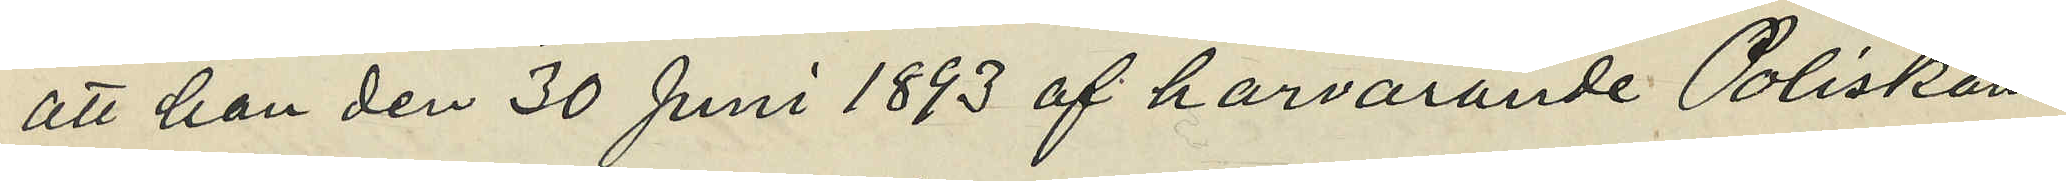att han den 30 Juni 1893 af härvarande Poliskam¬
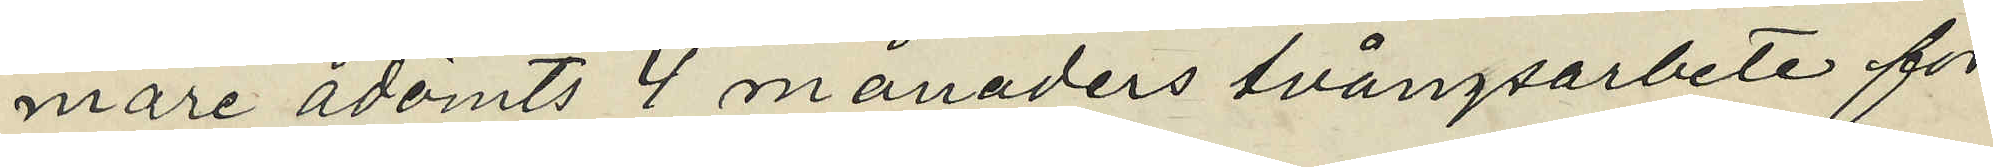mare ådömts 4 månaders tvångsarbete för
